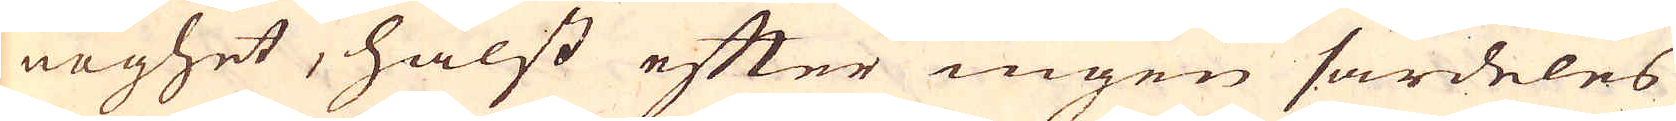noghet, hälst efter ingen särdeles
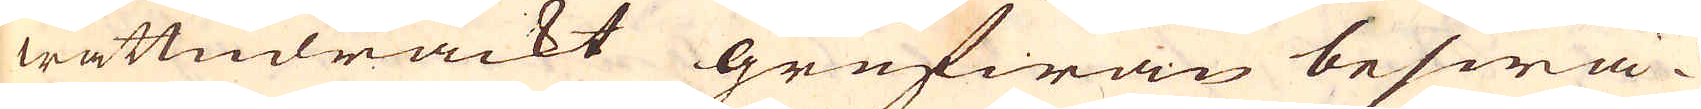wattndräckt grufwan beswä-
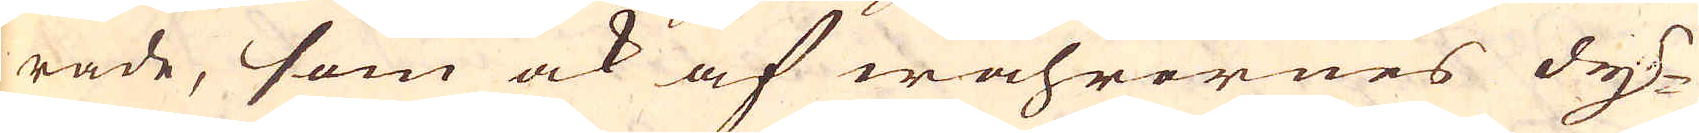rade, som ock af wahrornes dy-
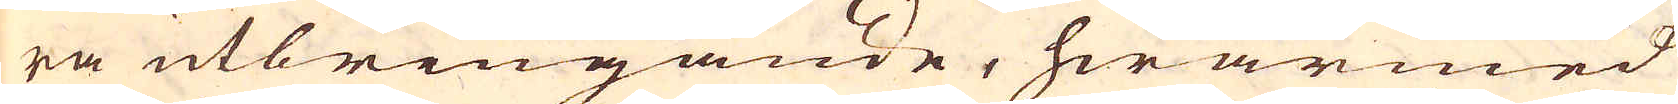ra utbringande, hwarmed
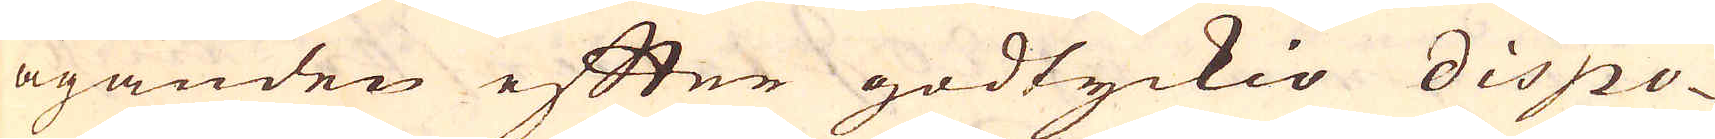äganden efter godtyckio dispo-
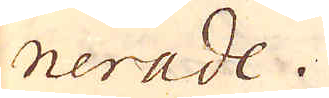nerade.
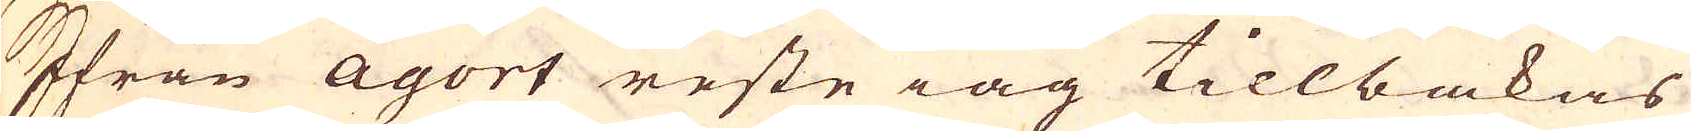Ifrån Agort reste iag tillbakas
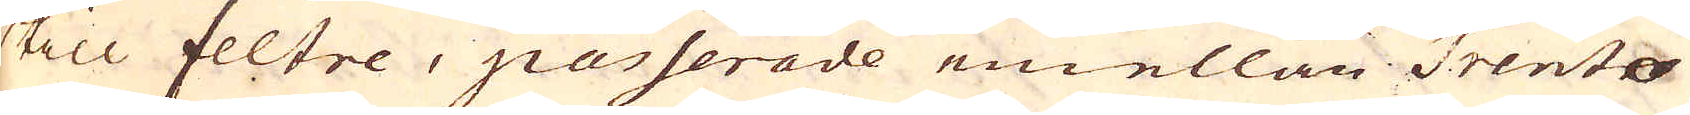till feltre, passerade emellan Trenter
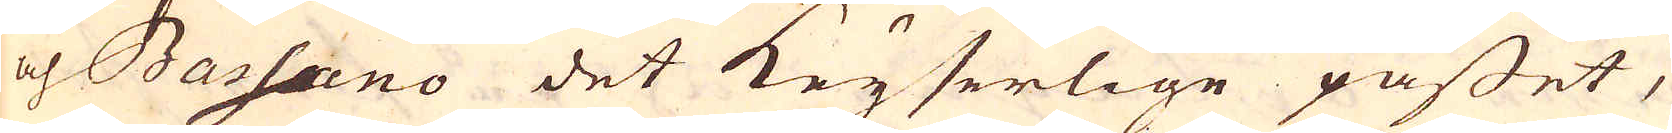och Bassano det Keyserlige passet,
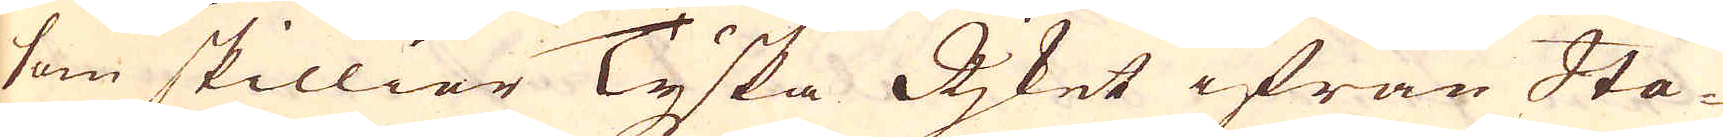som skillier Tyska Rjket ifrån Ita-
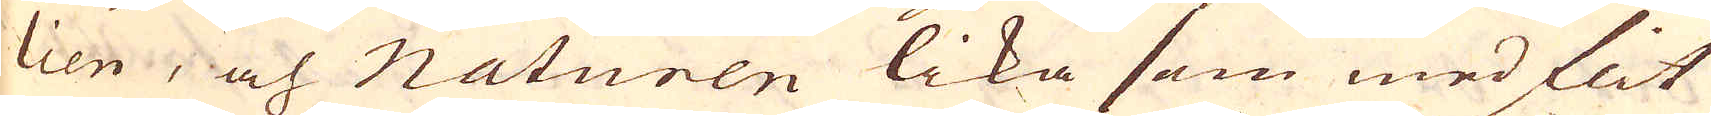lien, och Naturen lika som med flit
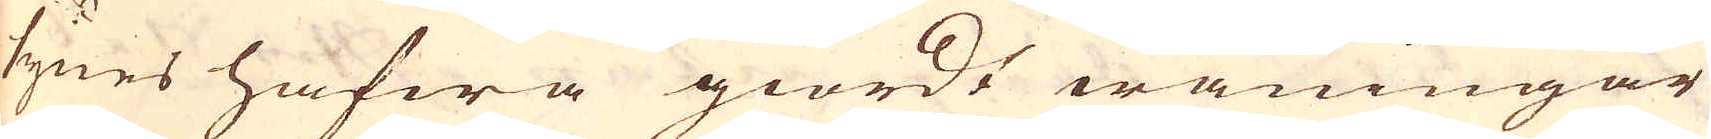synes hafwa giordt wåningar
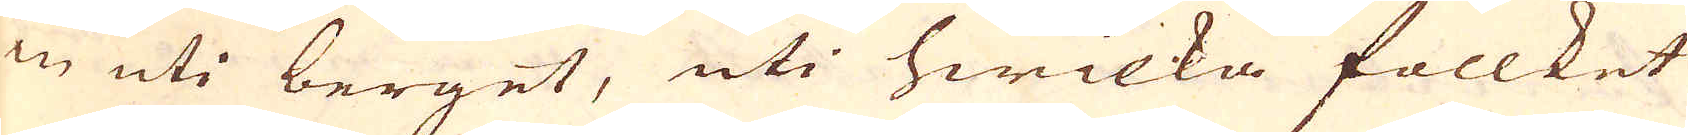in uti berget, uti hwilka follket
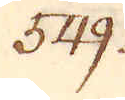549.
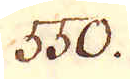550.
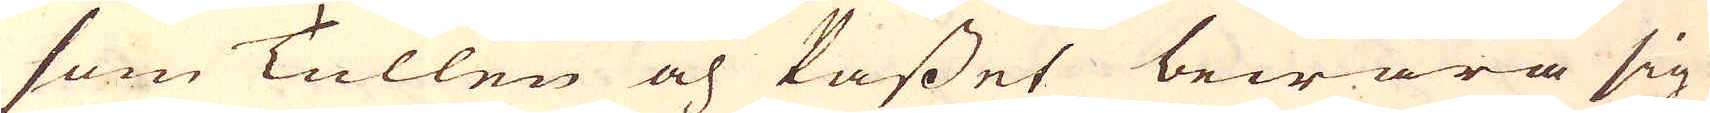som Tullen och Passet bewära sig
